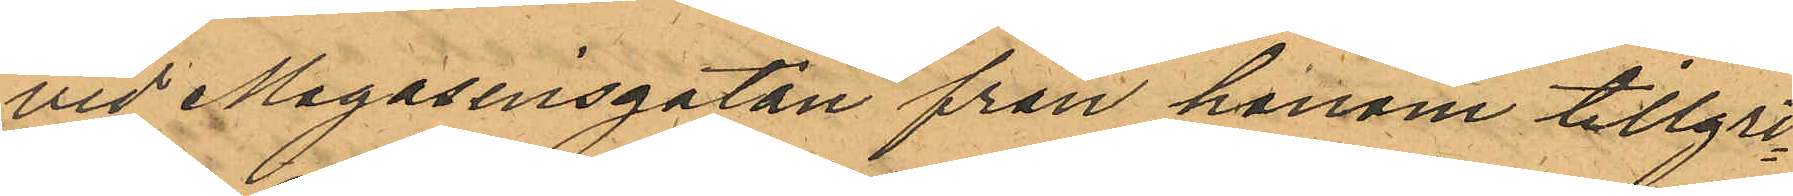vid Magasinsgatan från honom tillgri¬
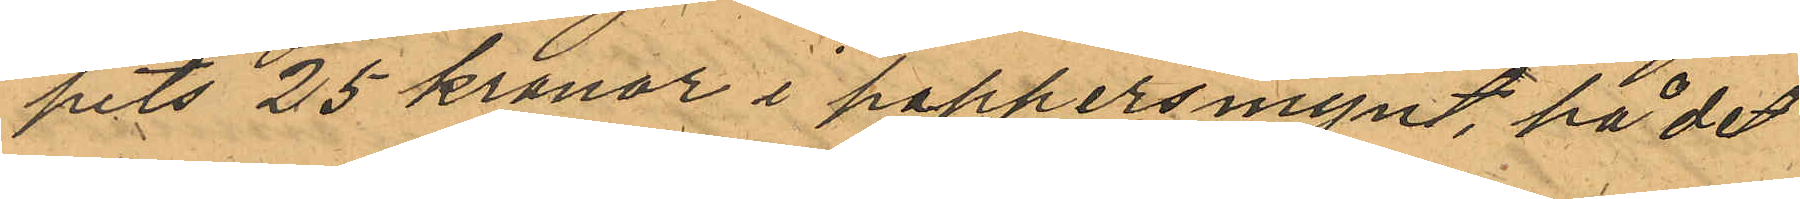pits 25 kronor i pappersmynt, på det
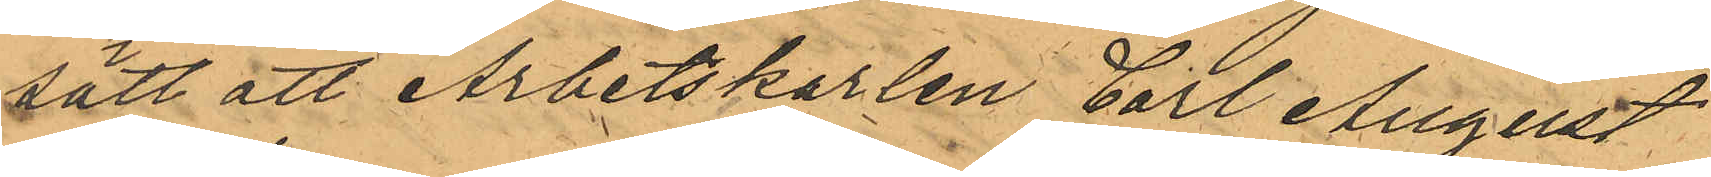sätt att Arbetskarlen Carl August
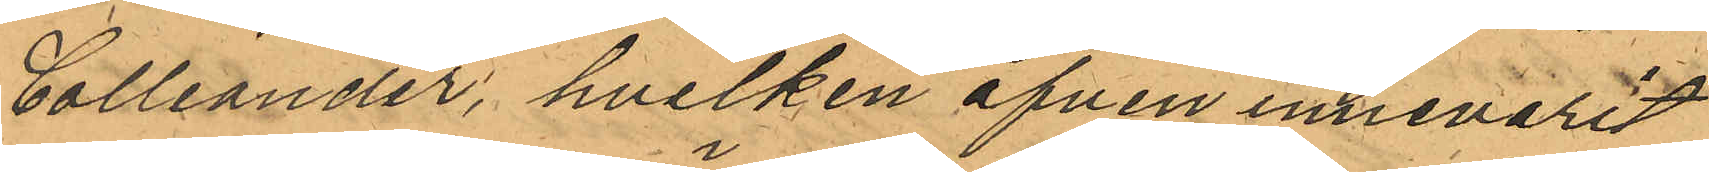Colliander, hvilken äfven innevarit
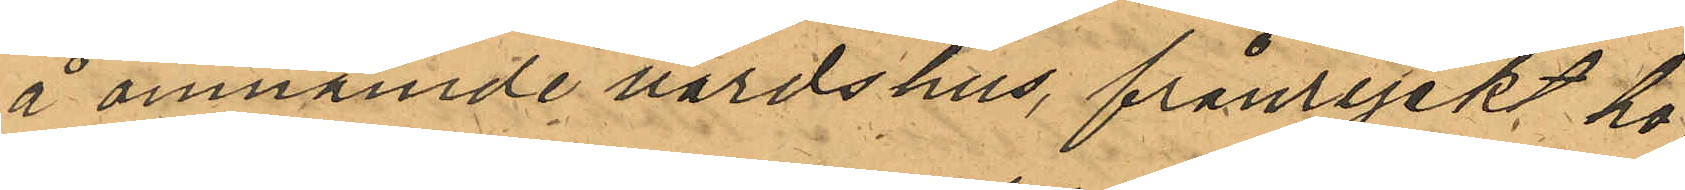å omnämde värdshus, frånryckt ho¬
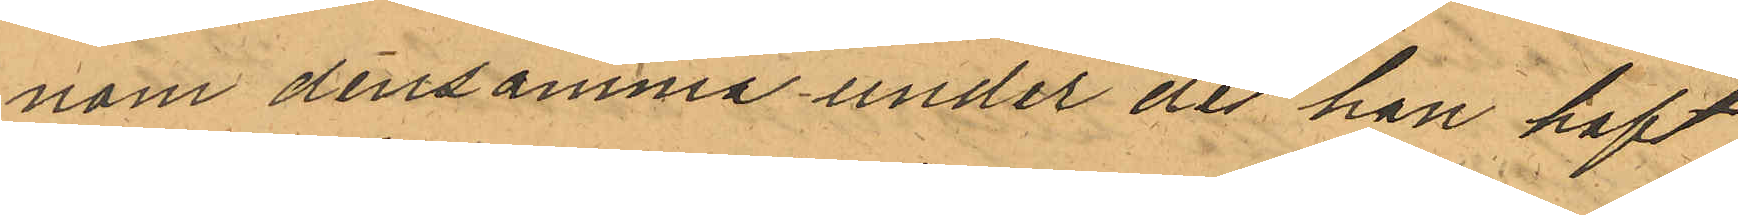nom densamma under det han haft
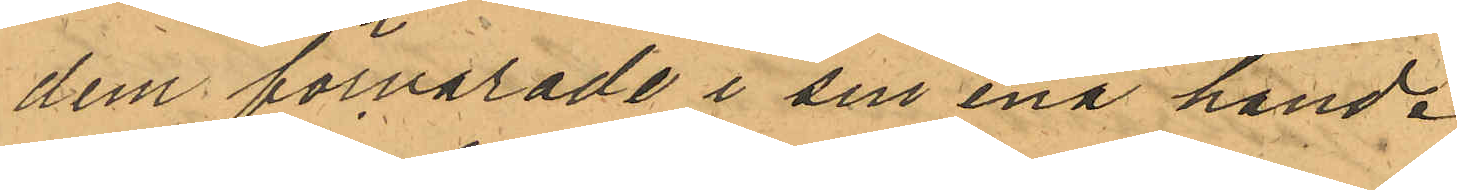dem förvarade i sin ena hand.
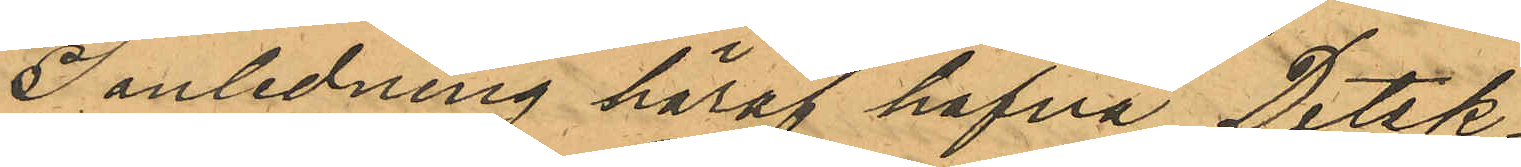I anledning häraf hafva Detek¬
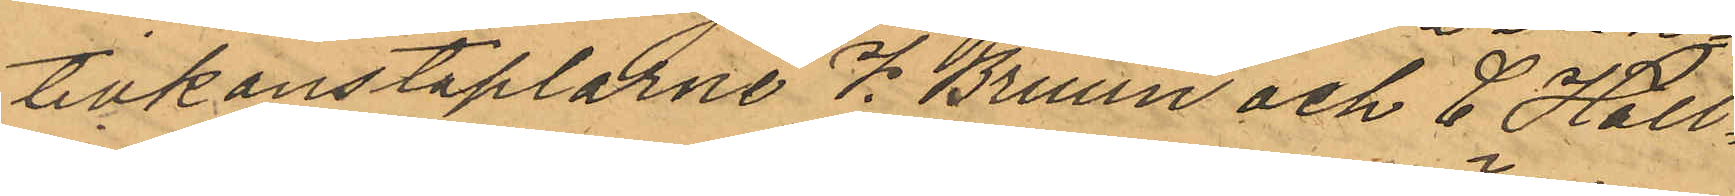tivkonstaplarne V. Bruun och C Häll¬
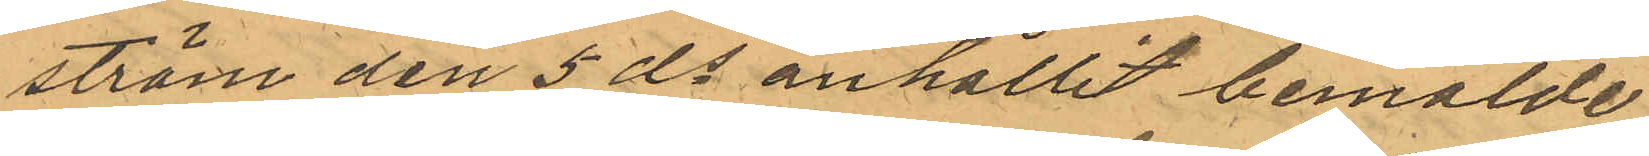ström den 5 ds anhållit bemälde
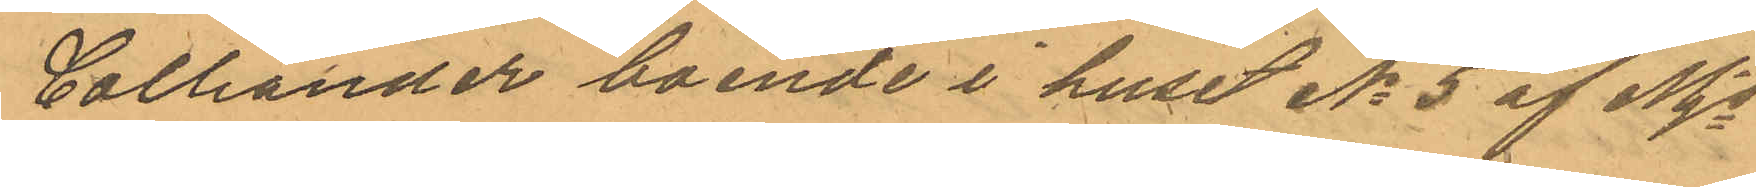Colliander boende i huset No 5 af Mjs
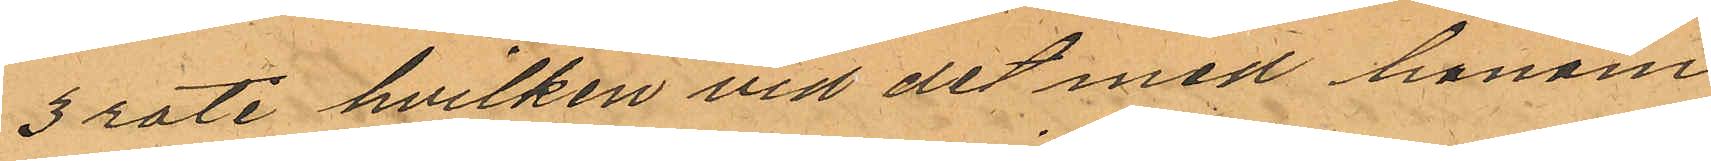3 rote hvilken vid det med honom
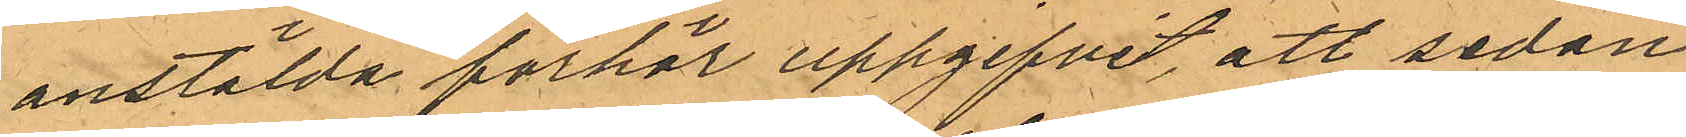anstälda förhör uppgifvit, att sedan
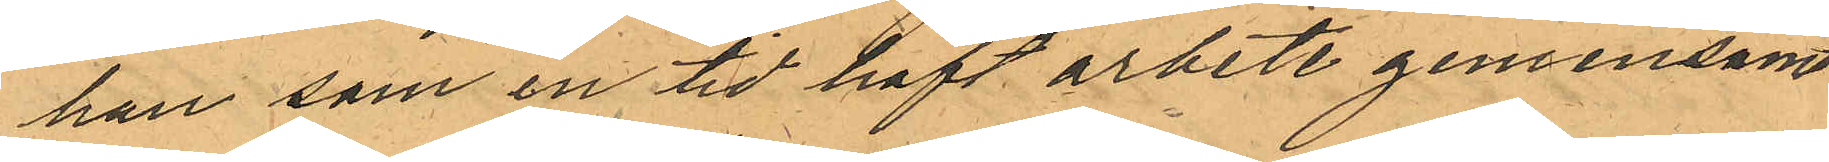han som en tid haft arbete gemensamt
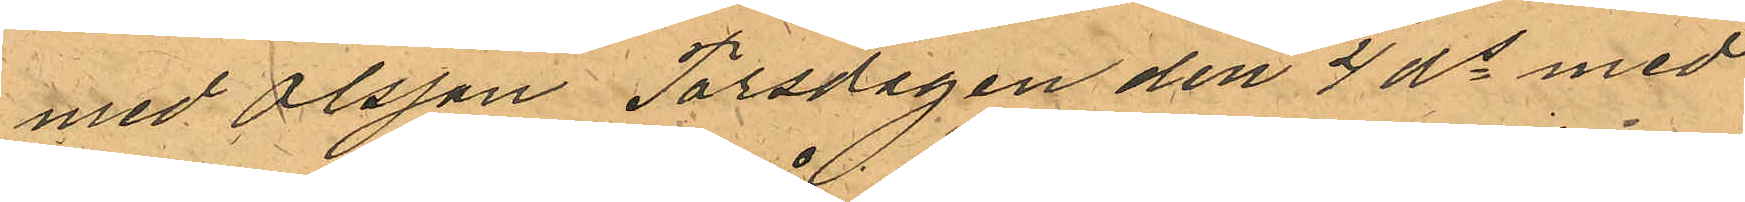med Olsson Torsdagen den 4 ds med
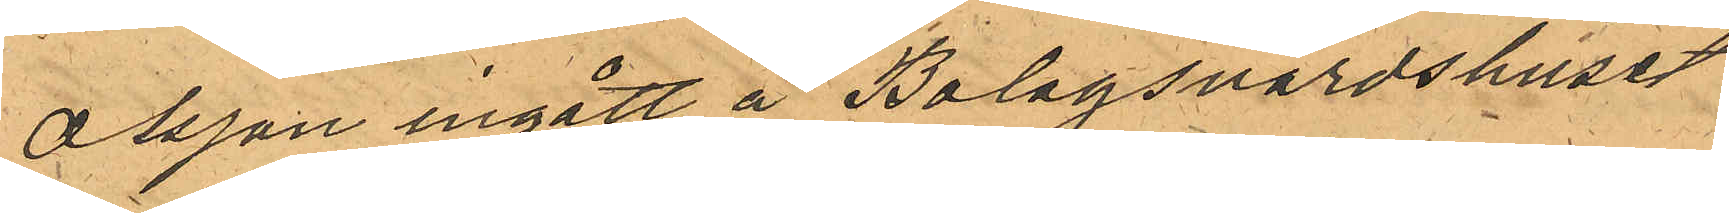Olsson ingått å Bolagsvärdshuset
